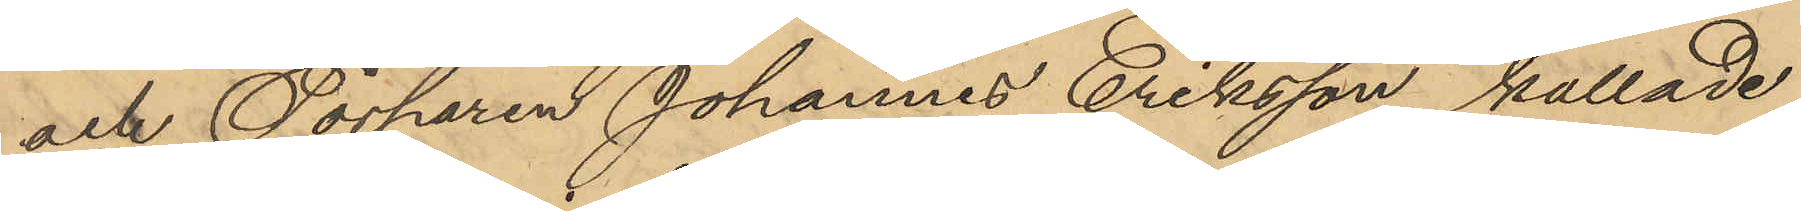och Torparen Johannes Eriksson kallade
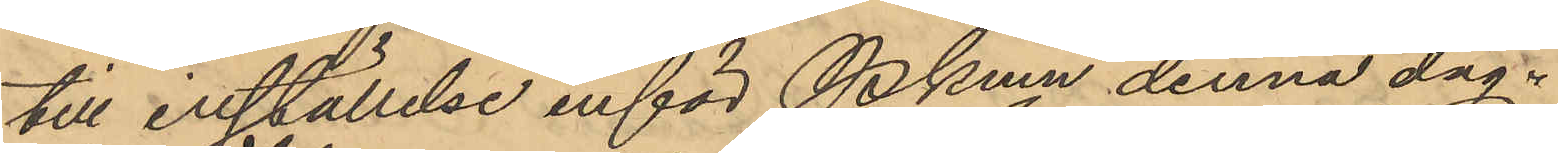till inställelse inför Pkmn denna dag.
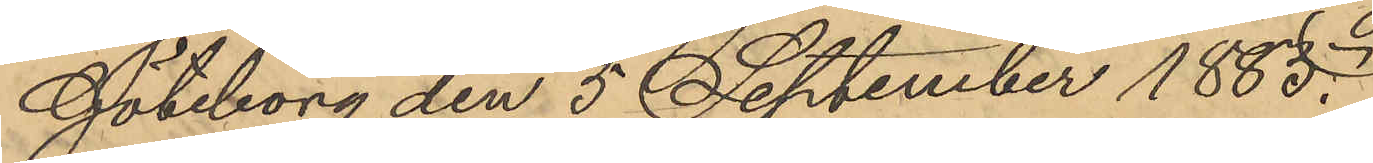Göteborg den 5 September 1885.
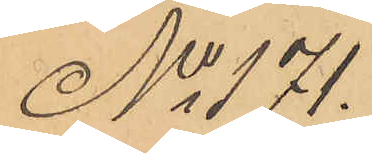No 171.
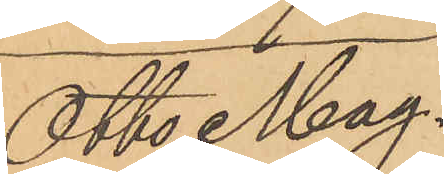Otto Mag¬
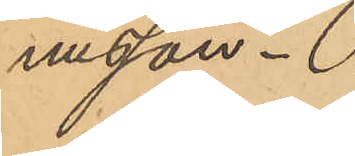nusson.
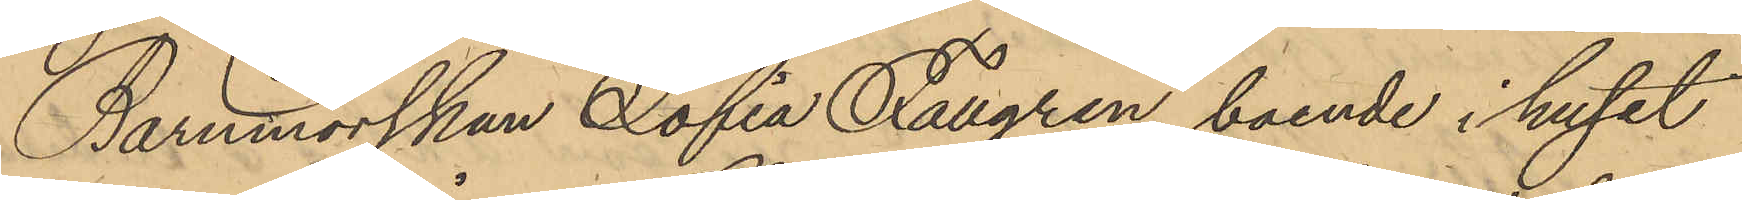Barnmorskan Sofia Fallgren, boende i huset
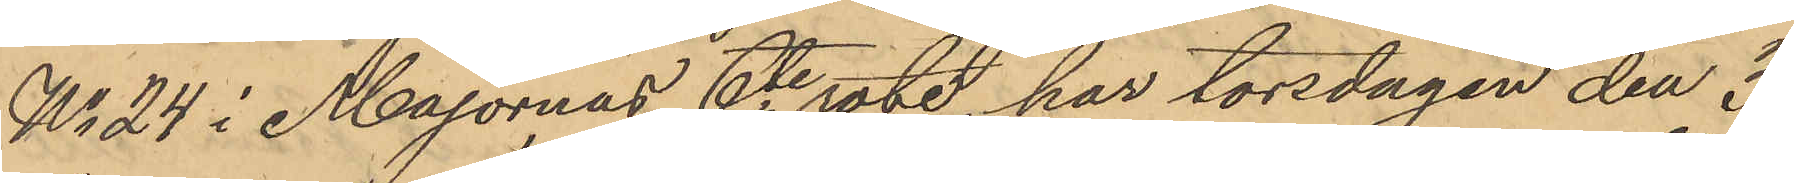No 24 i Majornas 6e rote, har torsdagen den 3
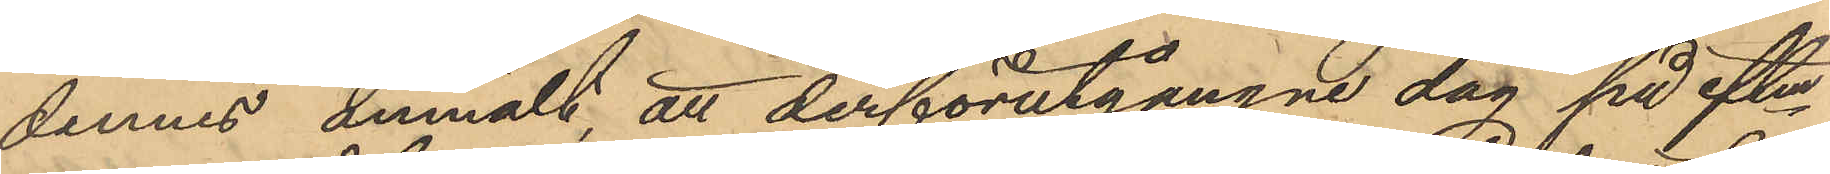dennes anmält att derförutgångne dag på eftm
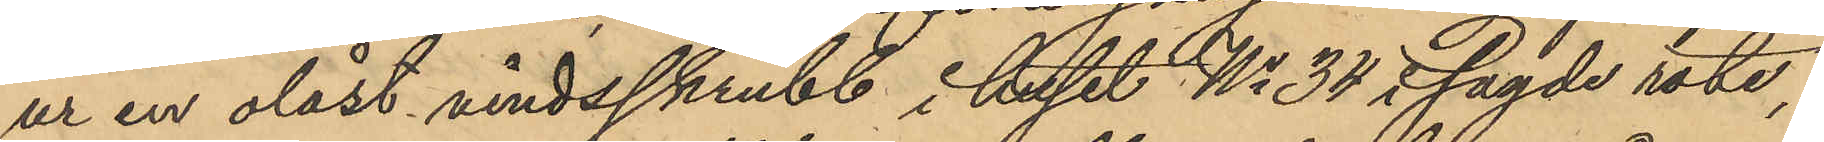ur en olåst vindsskrubb i huset No 34 i sagde rote,
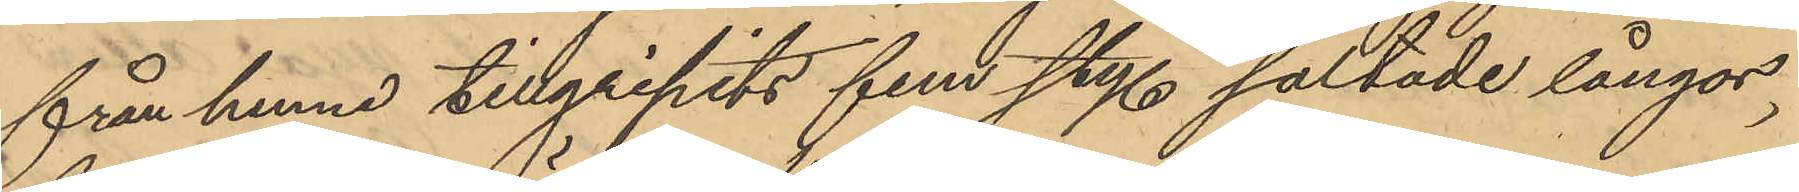från henne tillgripits fem sty. saltade långor,
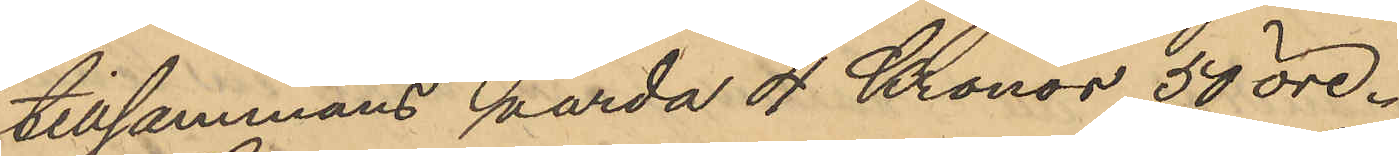tillsammans värda 4 Kronor 50 öre.
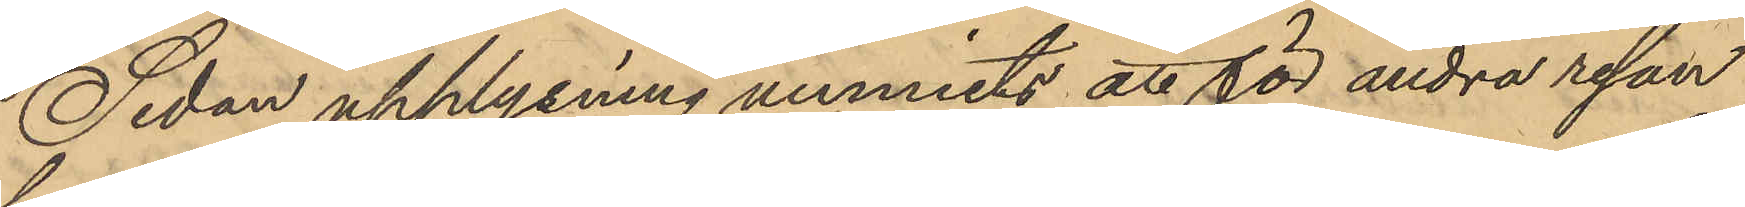Sedan upplysning vunnits att för andra resan
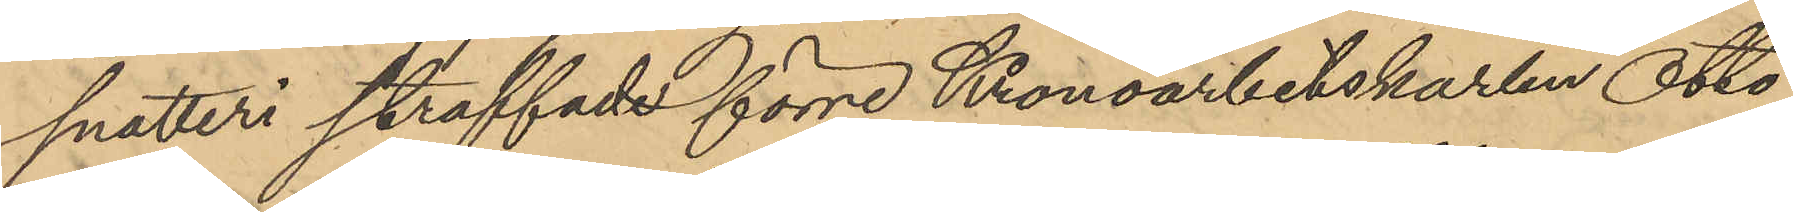snatteri straffade förre Kronoarbetskarlen Otto
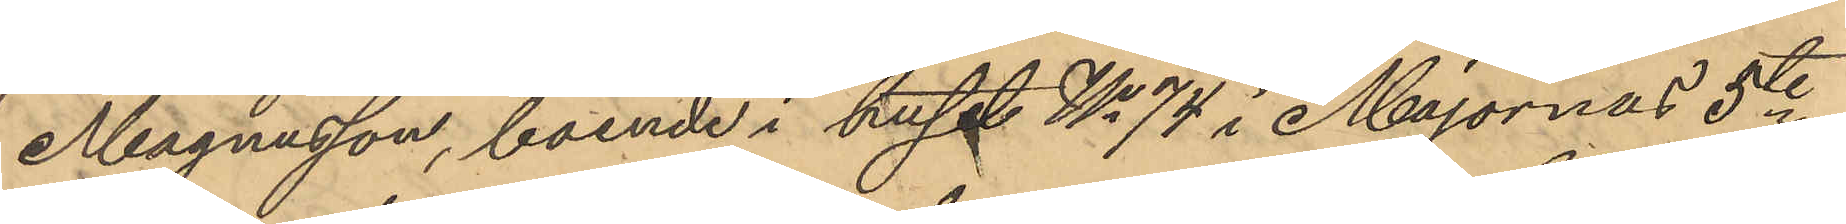Magnusson, boende i huset No 74 i Majornas 5te
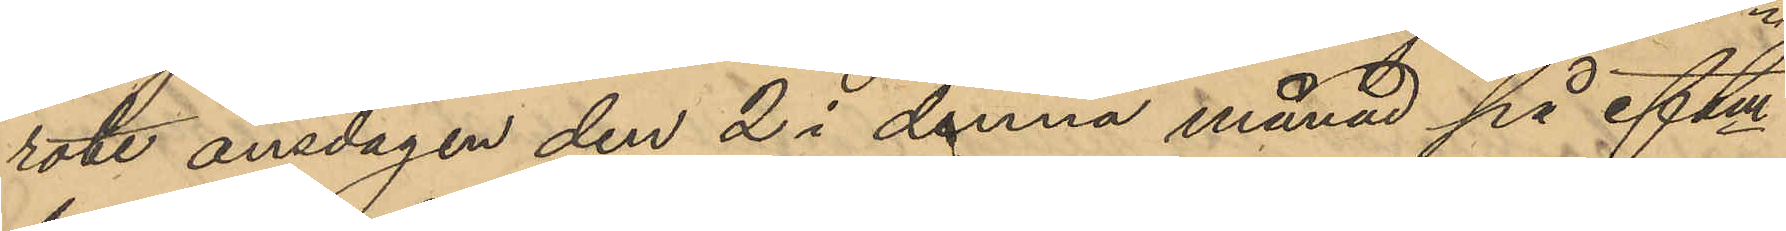rote onsdagen den 2 i denna månad på eftm 
